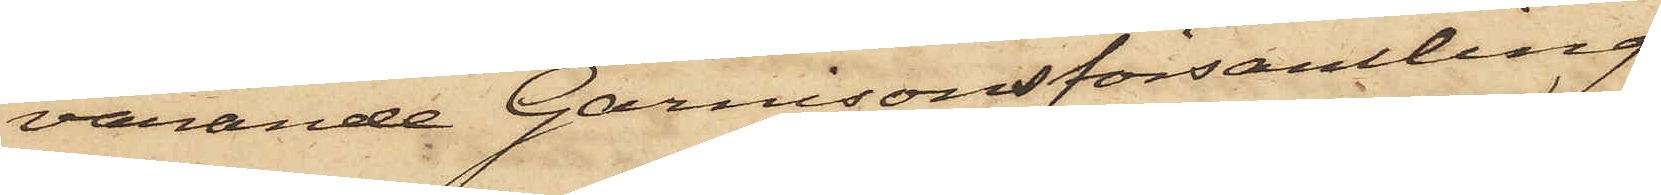varande Garnisonsförsamling
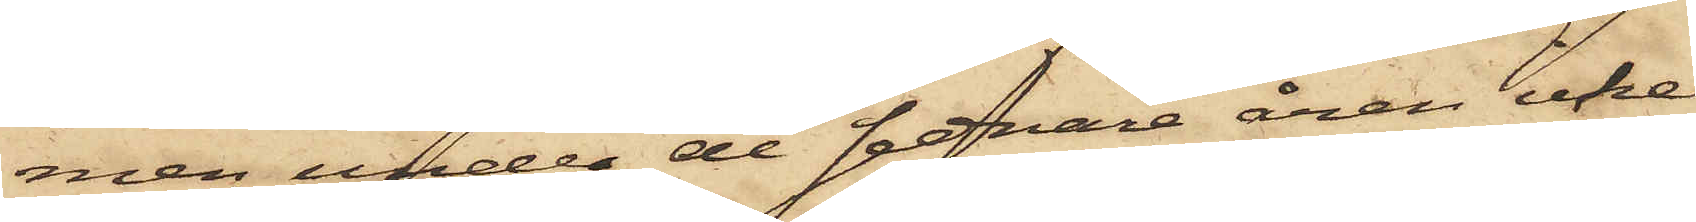men under de senare åren icke
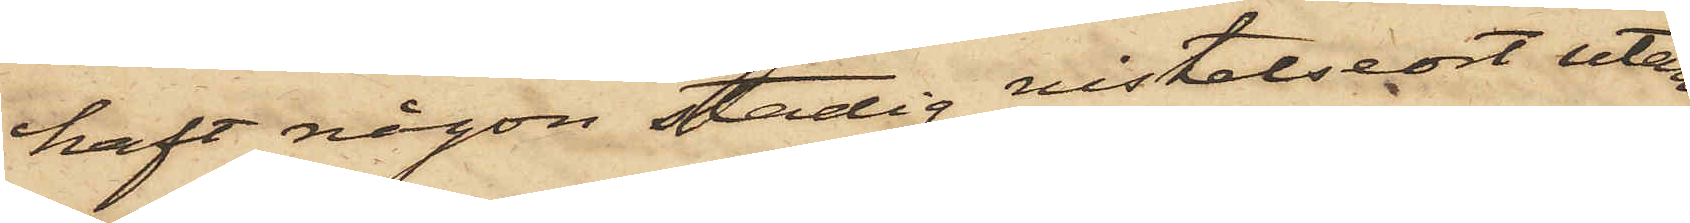haft någon stadig vistelseort utan
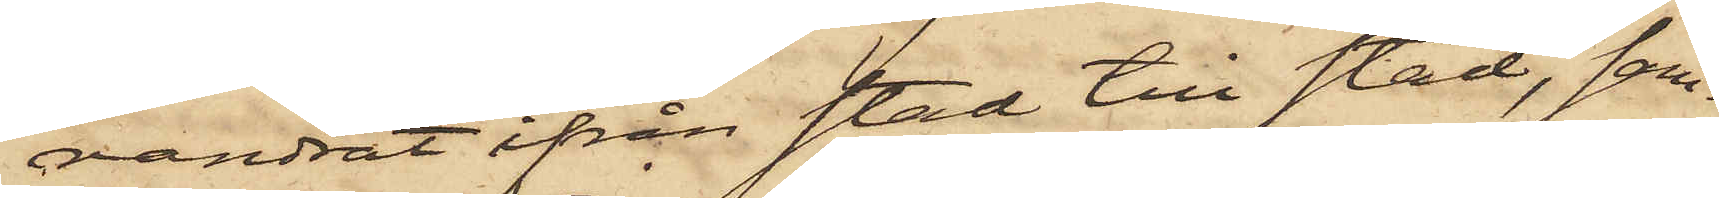vandrat ifrån stad till stad, sam¬
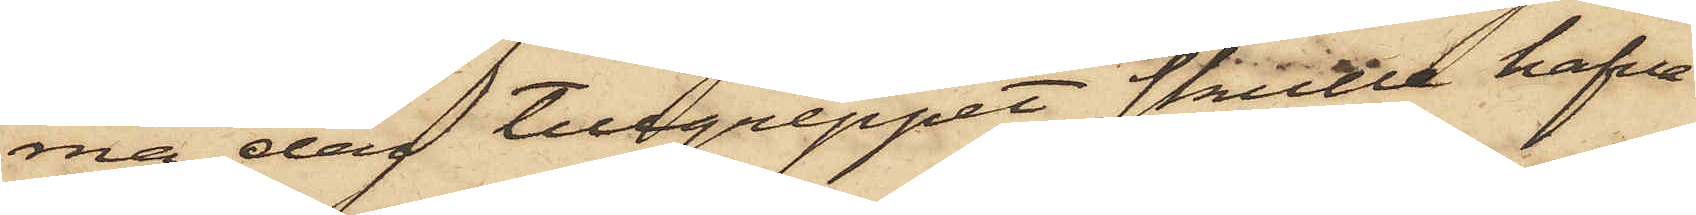ma dag tillgreppet skulle hafva
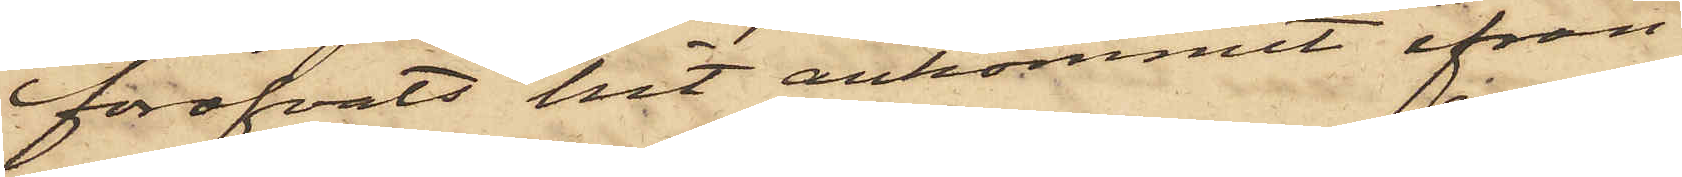föröfvats hit ankommit ifrån
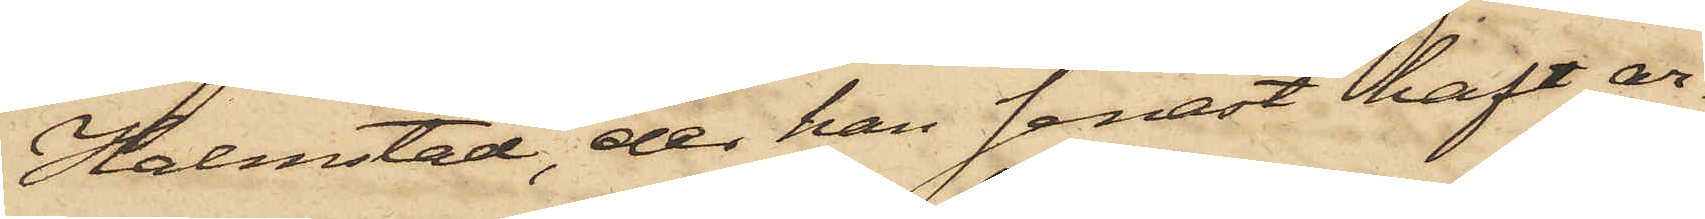Halmstad, der han senast haft ar¬
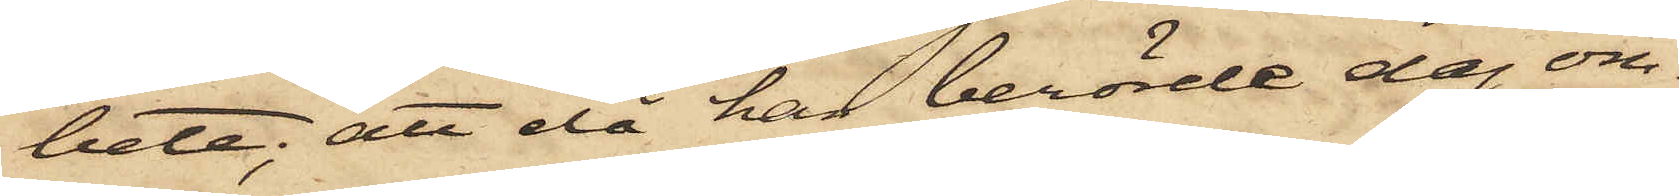bete; att då han berörde dag om¬
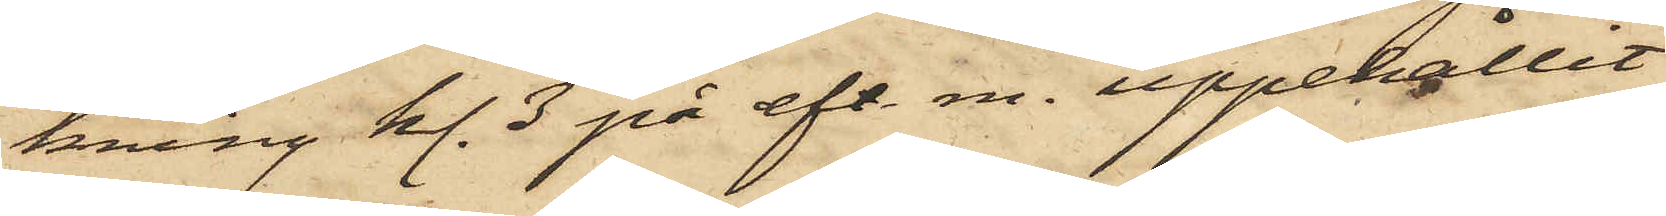kring kl. 3 på eft. m. uppehållit
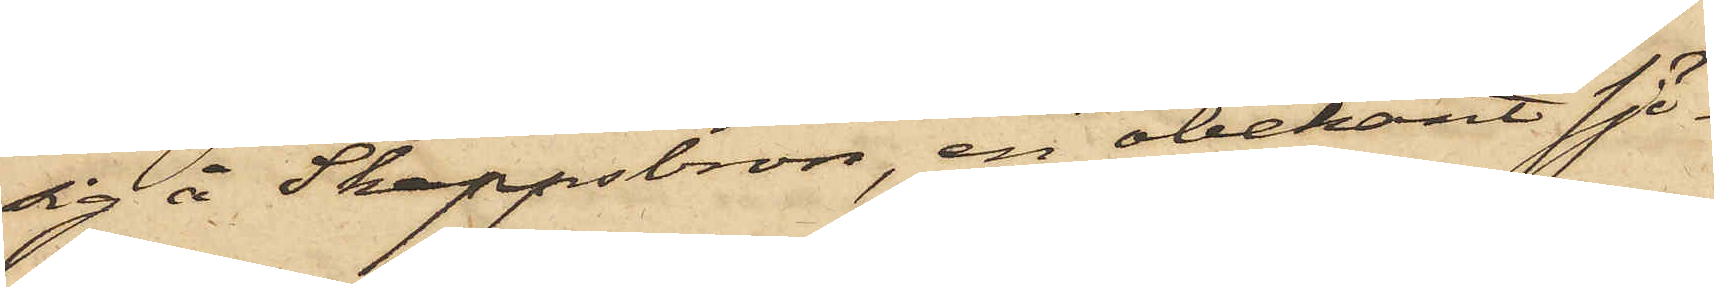sig å Skeppsbron, en obekant sjö¬
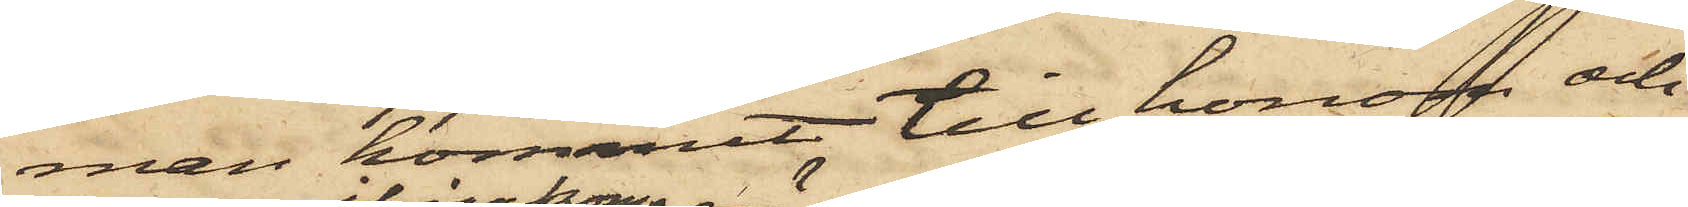man kommit till honom och
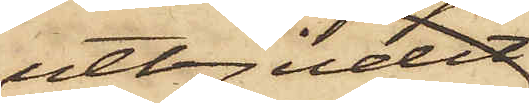utbjudit
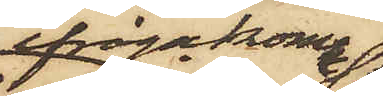ifrågakomne
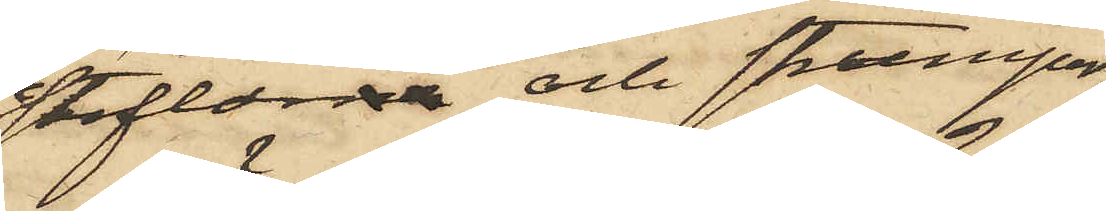stöflorna och strumpor,
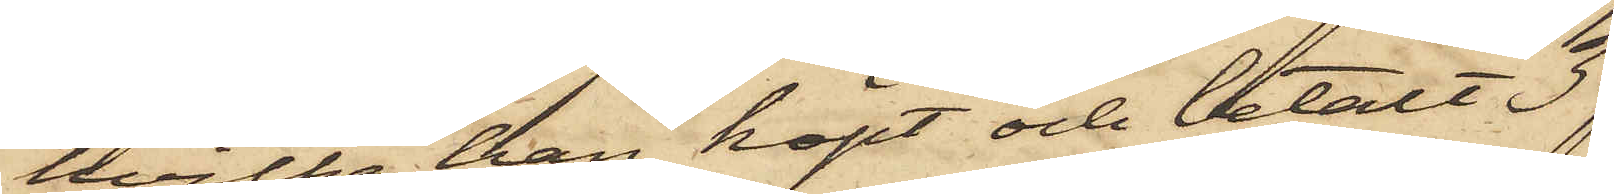hvilka han köpt och betalt 3
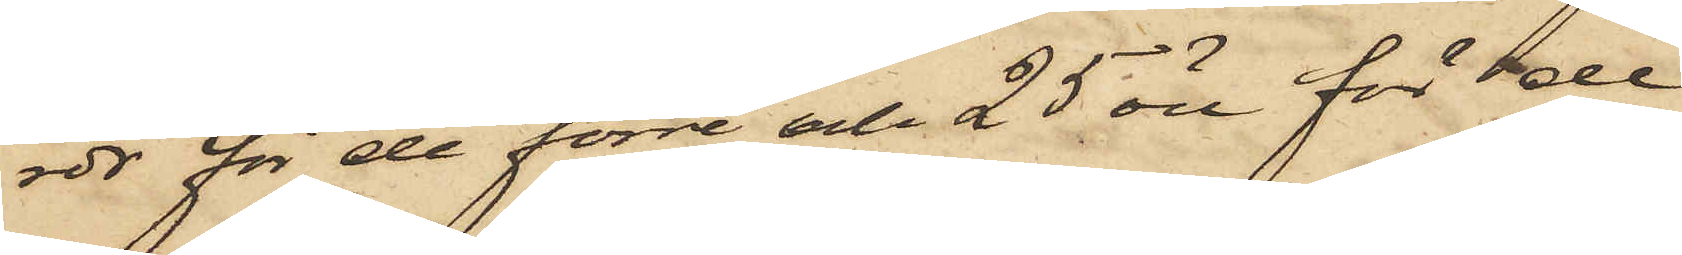rdr för de förre och 25 öre för de
